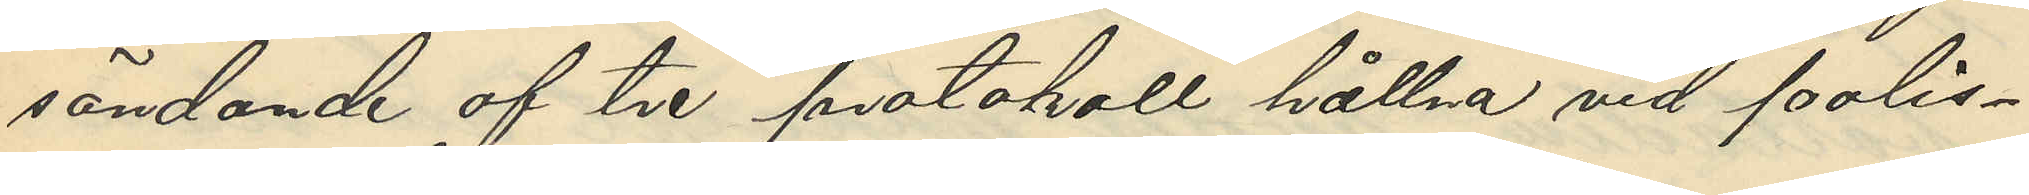sändande af tre protokoll hållna vid Polis¬
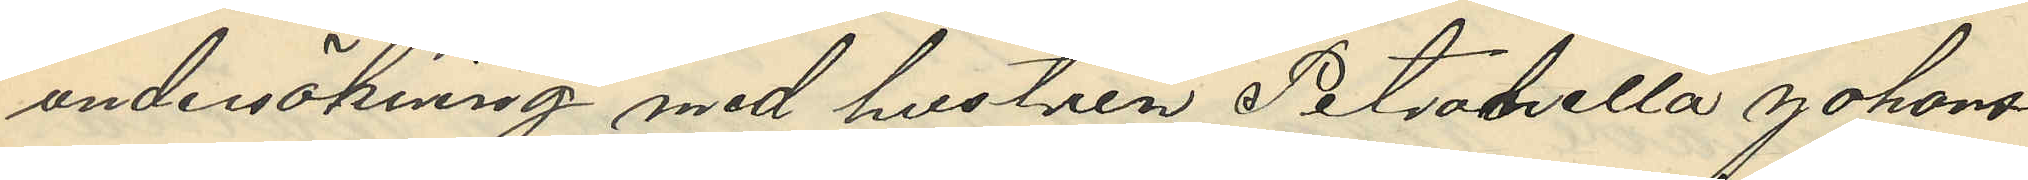undersökning med hustrun Petronella Johans¬
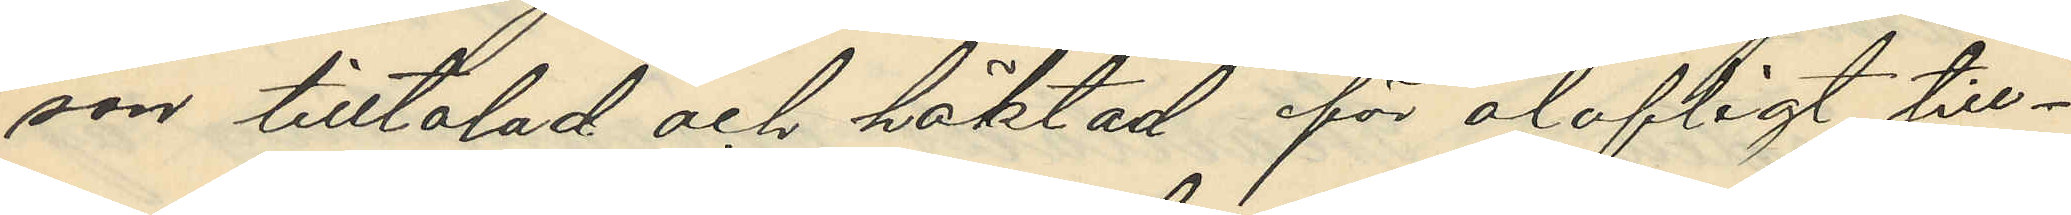son tilltalad och häktad för olofligt till¬
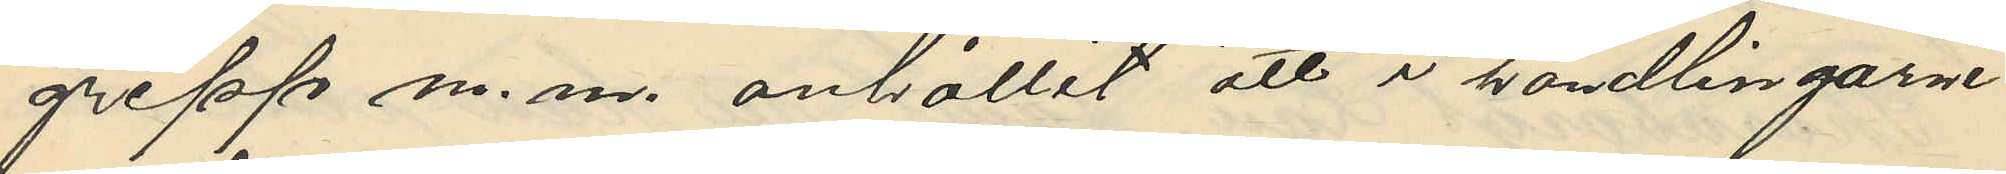grepp m. m. anhållit att i handlingarne
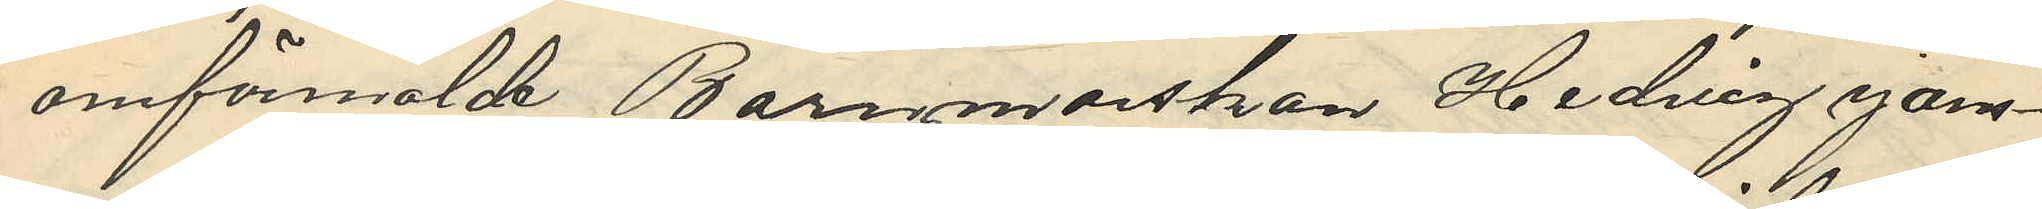omförmälde Barnmorskan Hedvig jans¬
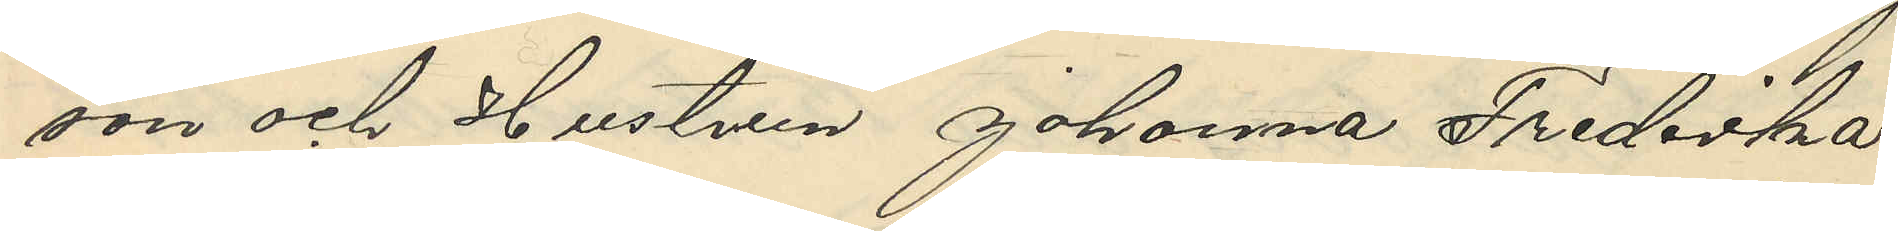son och Hustrun Johanna Fredrika
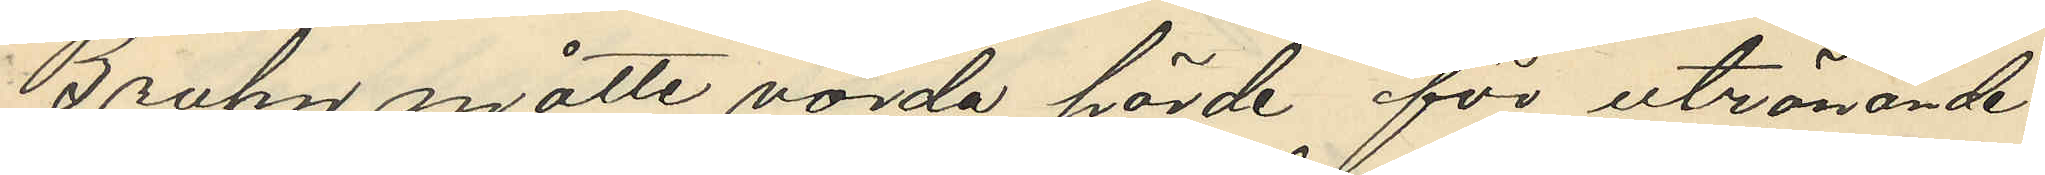Bruhn måtte vörda hörde för utrönande
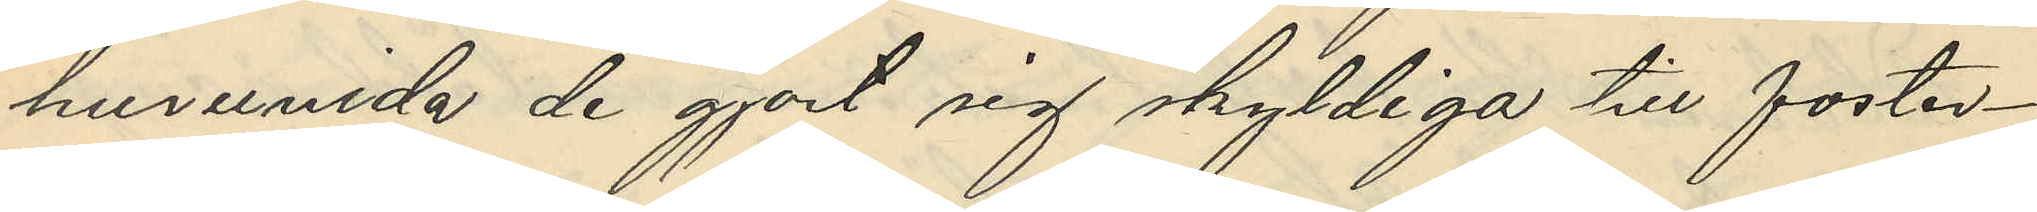huruvida de gjort sig skyldiga till foster¬
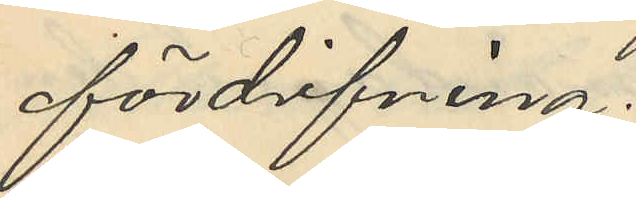fördrifning.
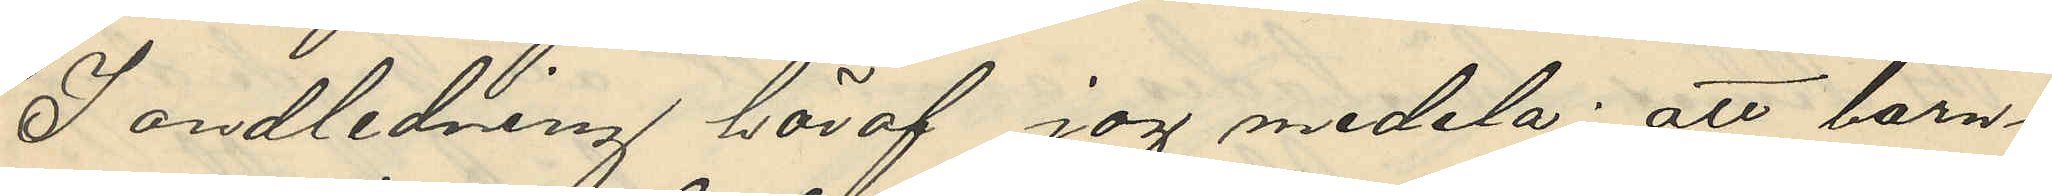I andledning häraf jag medela: att barn¬
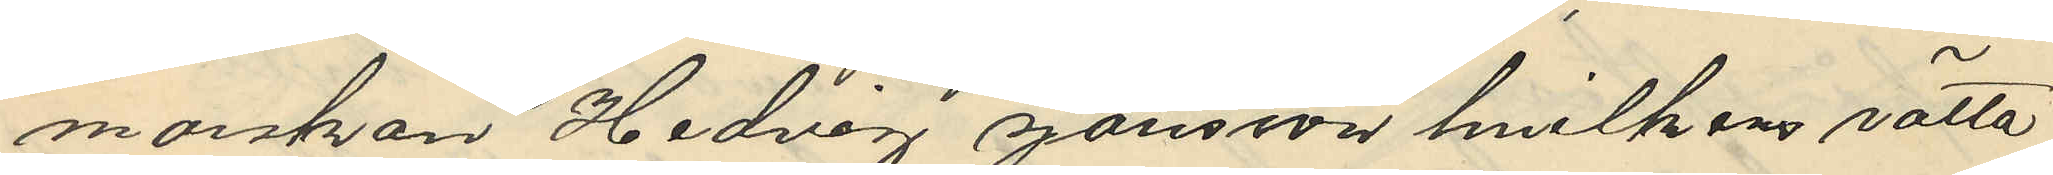morskan Hedvig Jansson hvilkens rätta
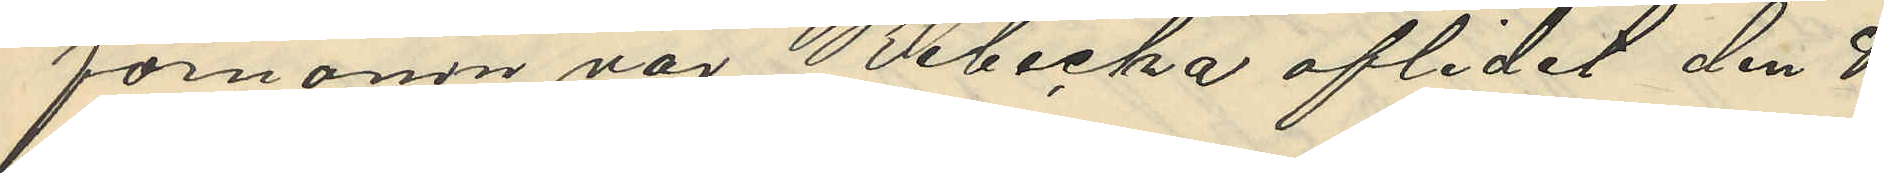förnamn var Rebecka aflidit den 8
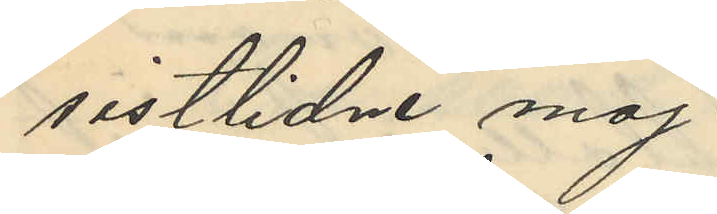sistlidne maj.
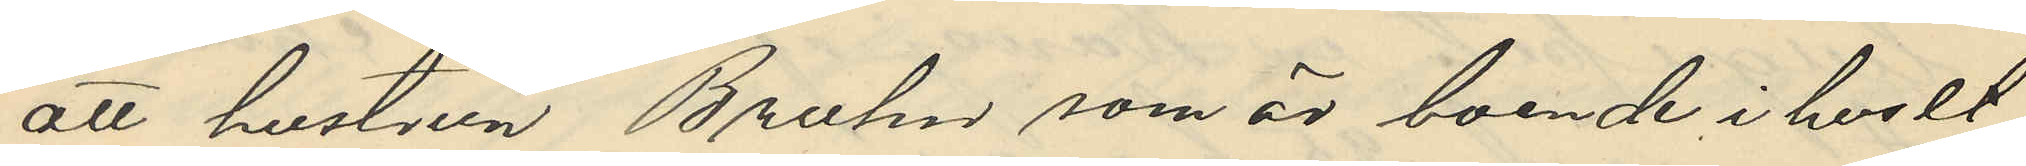att hustrun Bruhn som är boende i huset
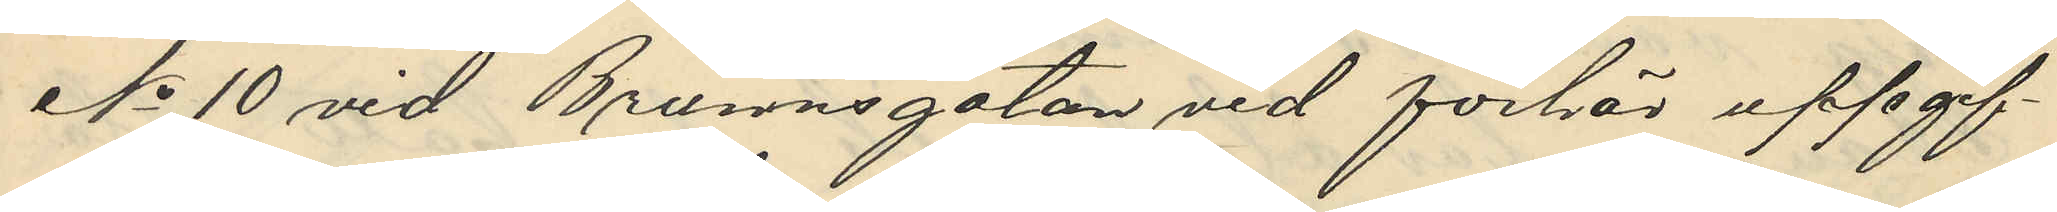No 10 vid Brunnsgatan vid förhör uppgif¬
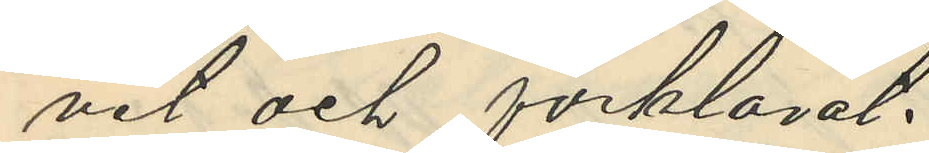vit och förklarat:
